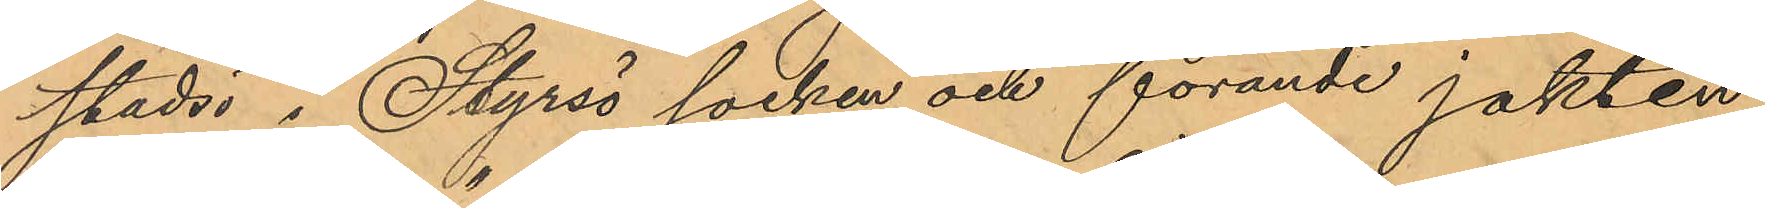stadsö i Styrsö socken och förande jakten
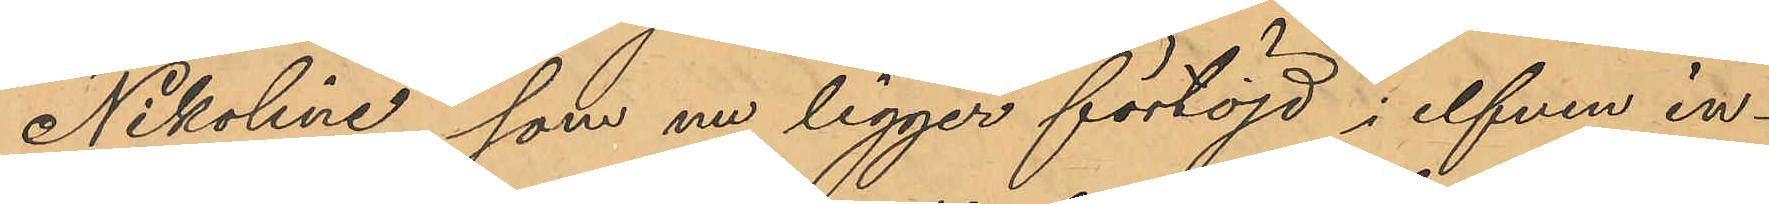"Nikoline", som nu ligger förtöjd i elfven in¬
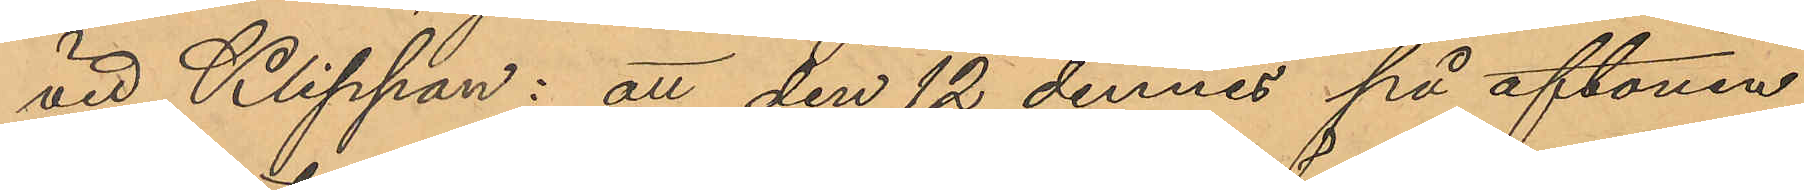vid Klippan: att den 12 dennes på aftonen
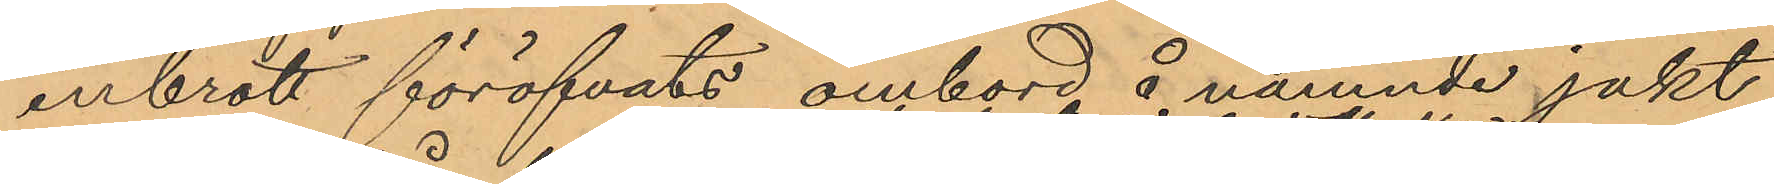inbrott föröfvats ombord å nämnde jakt,
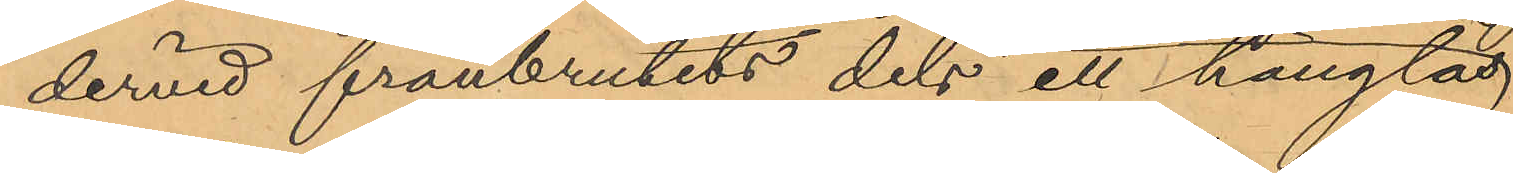dervid frånbrutits dels ett hänglås
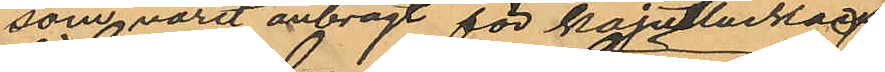som varit anbragt för kajutluckan
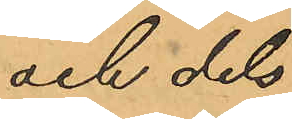och dels
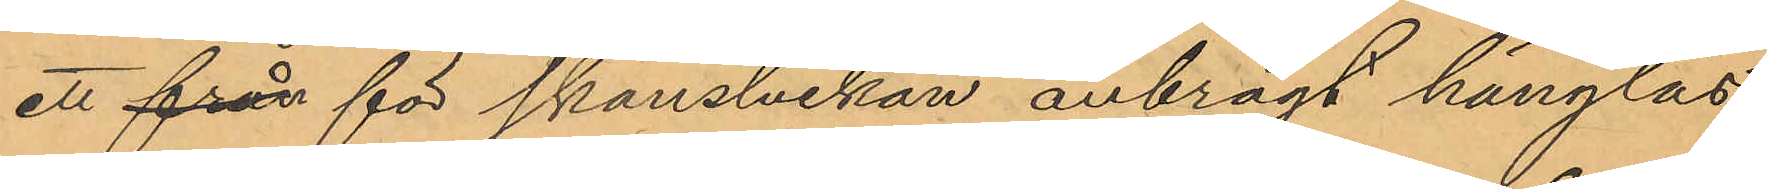ett från för skansluckan anbragt hänglås;
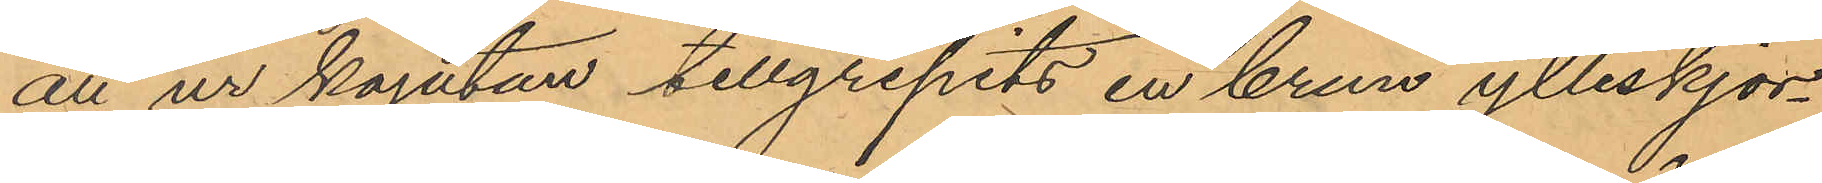att ur kajutan tillgripits en brun ylleskjor¬
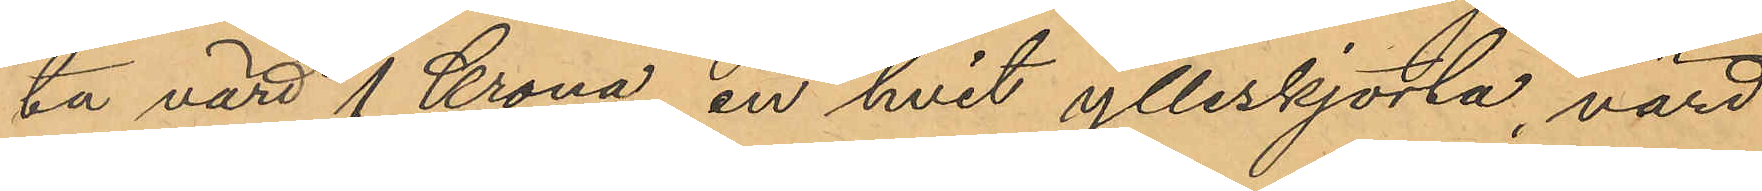ta värd 1 Krona, en hvit ylleskjorta, värd
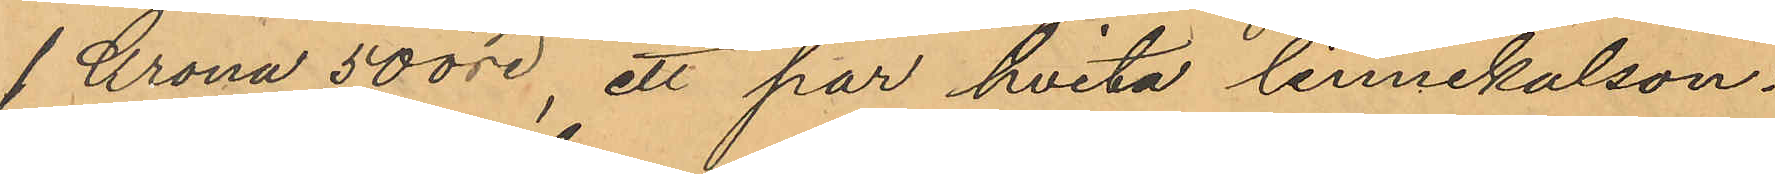1 Krona 50 öre, ett par hvita linnekalson¬
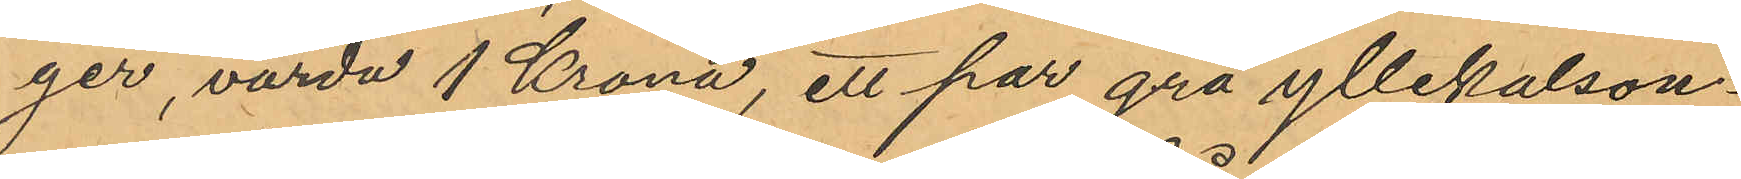ger, värda 1 Krona, ett par grå yllekalson¬
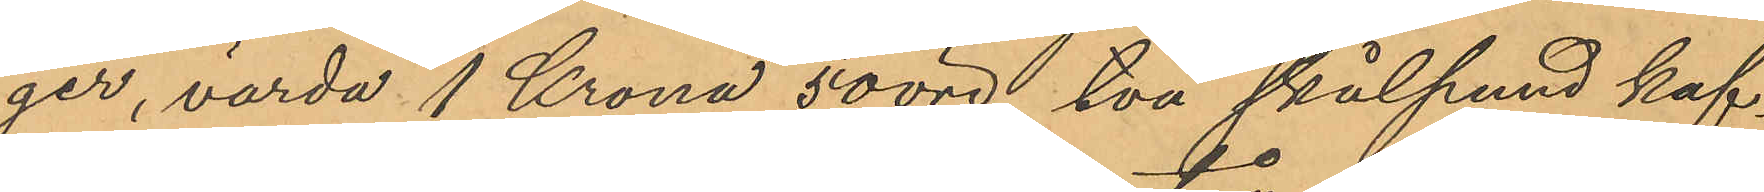ger, värda 1 Krona 50 öre, två skålpund kaf¬
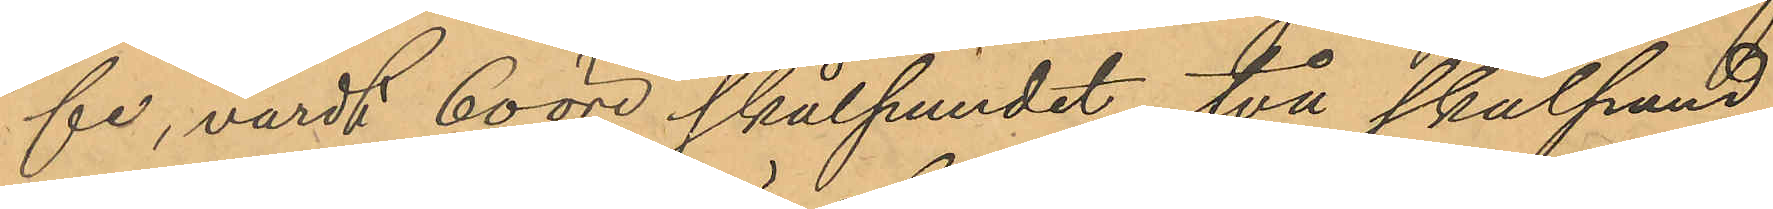fe, värdt 60 öre skålpundet, två skålpund
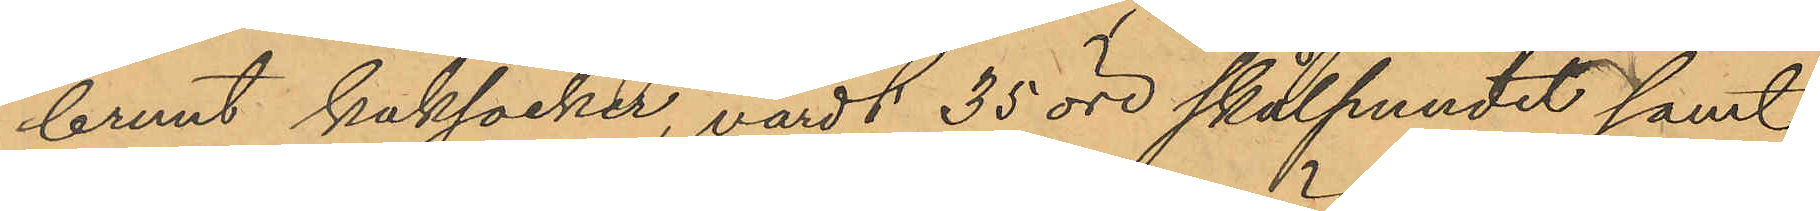brunt kaksocker, värdt 35 öre skålpundet samt
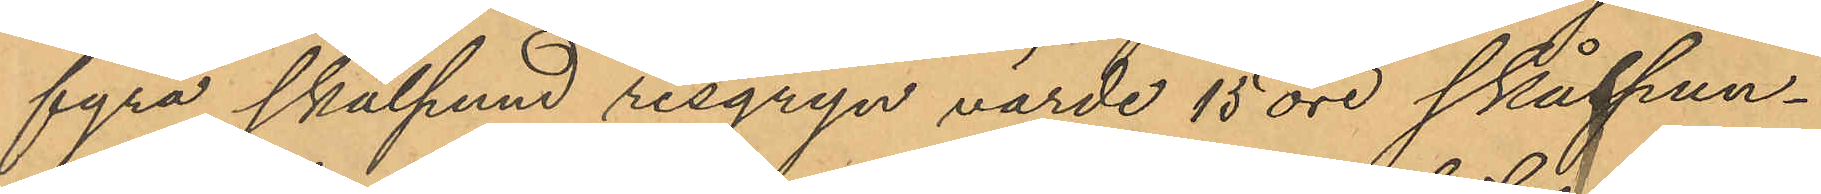fyra skålpund risgryn, värde 15 öre skålpun¬
